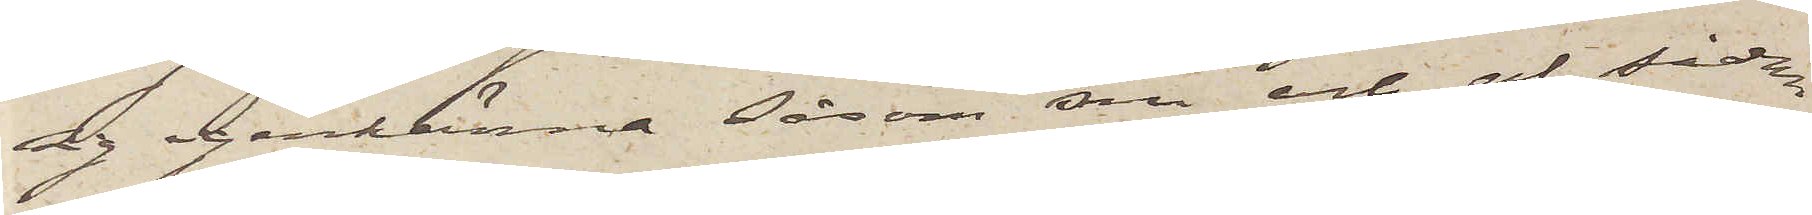sig igenkänna såsom sin och af sådan
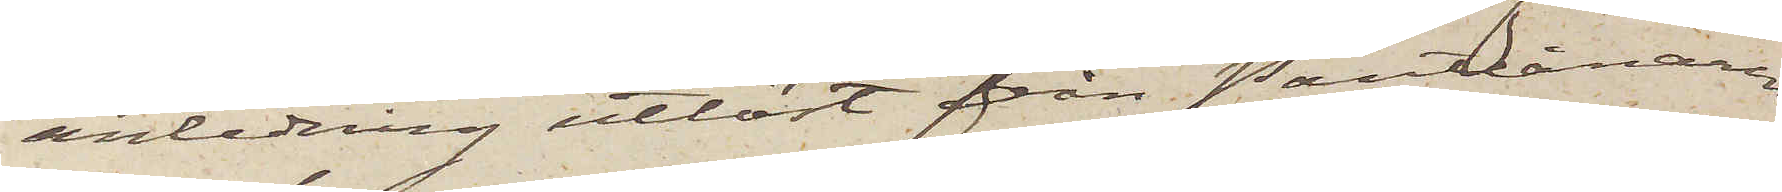anledning utlöst från Pantlånaren
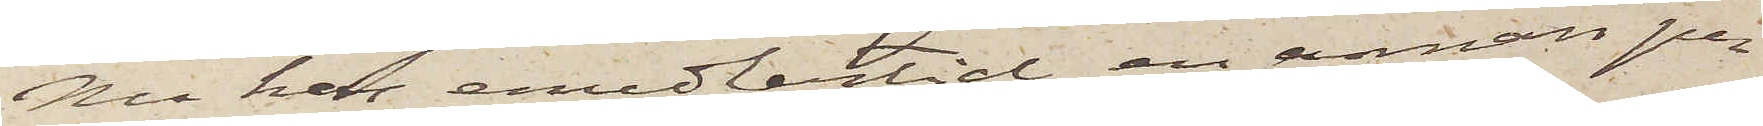Nu har emedlertid en annan per¬
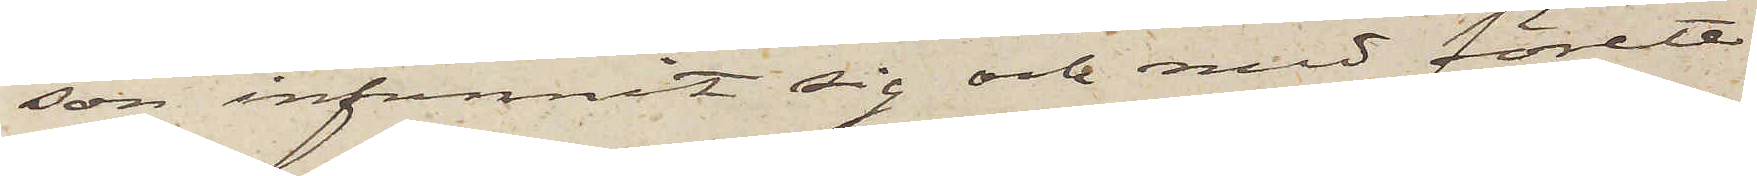son infunnit sig och med förete¬
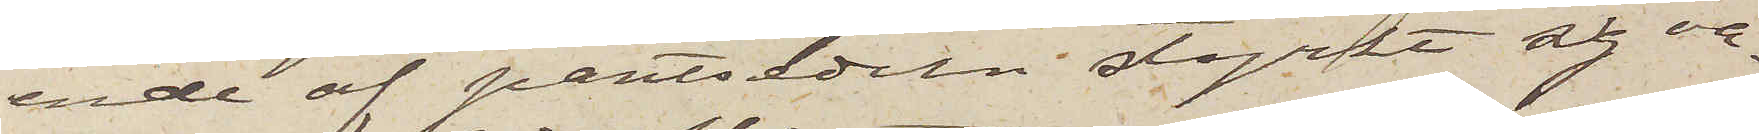ende af pantsedeln styrkt sig va¬
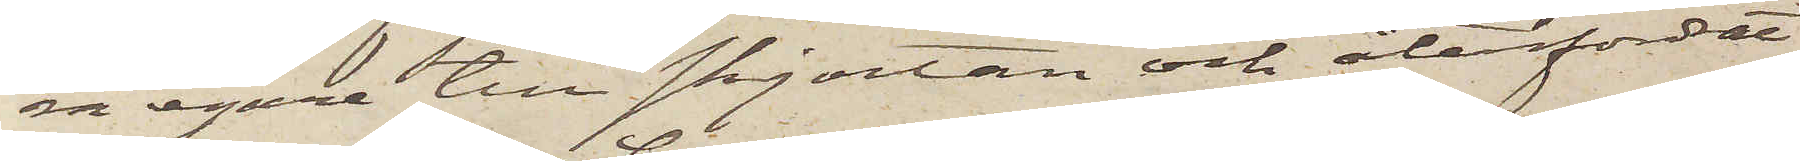ra egare till skjortan och återfordrat
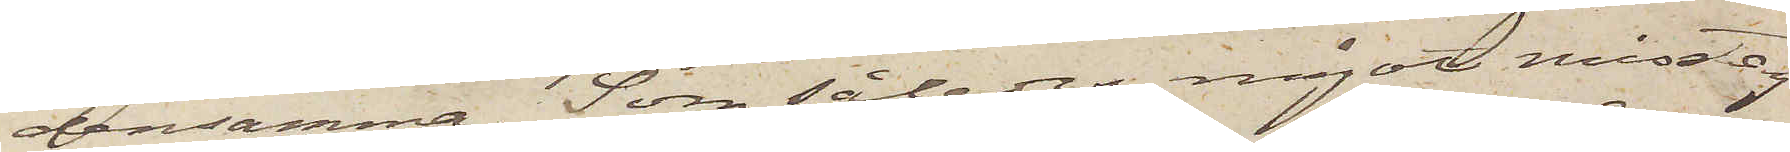densamma. Som således något misstag
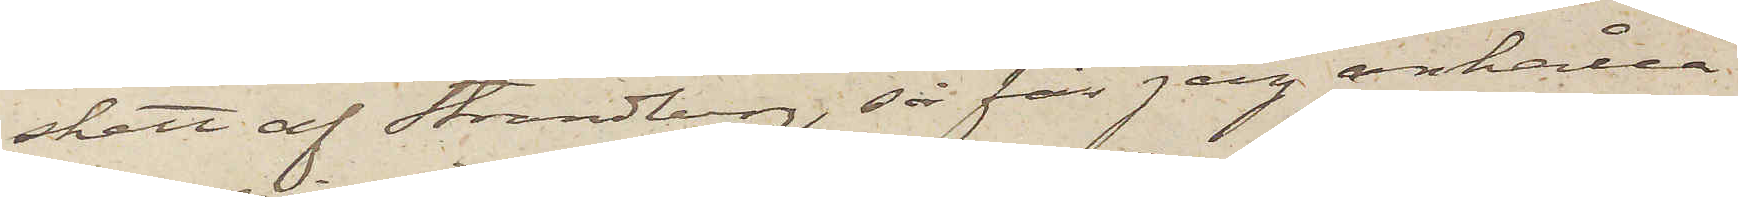skett af Strandberg, så får jag anhålla
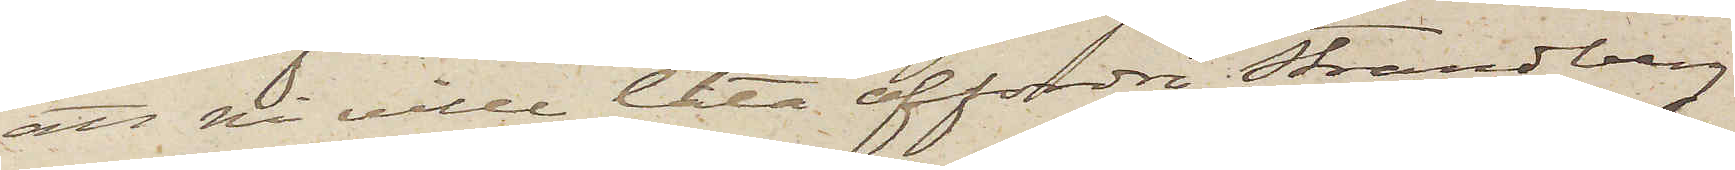att på ville låta affordra Strandberg
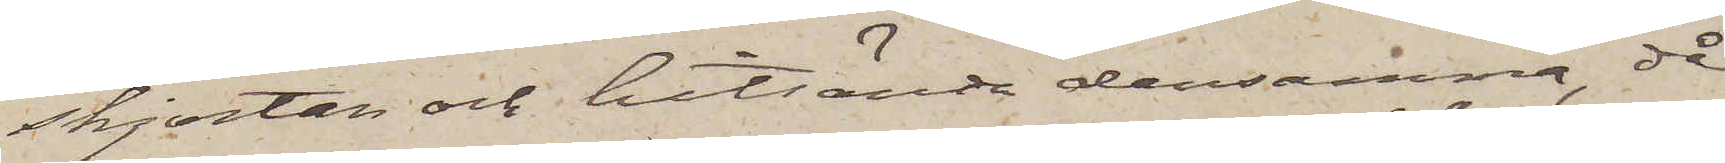skjortan och hitsända densamma, då
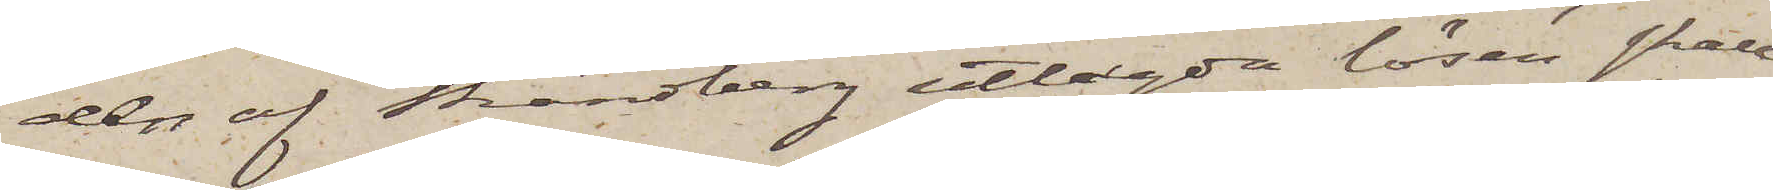den af Strandberg utlagda lösen skall
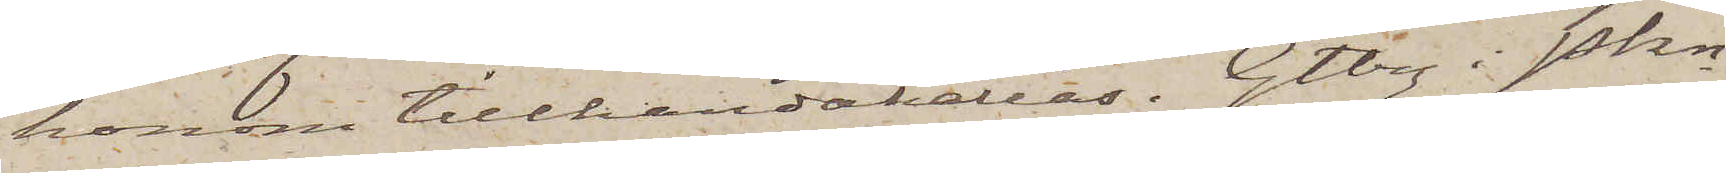honom tillhandahållas. Gtbrg i Pkn
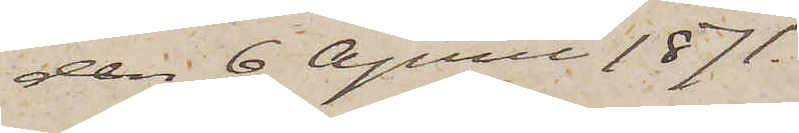den 6 April 1871.
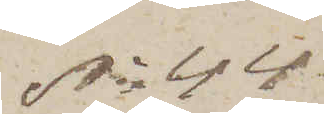No 44
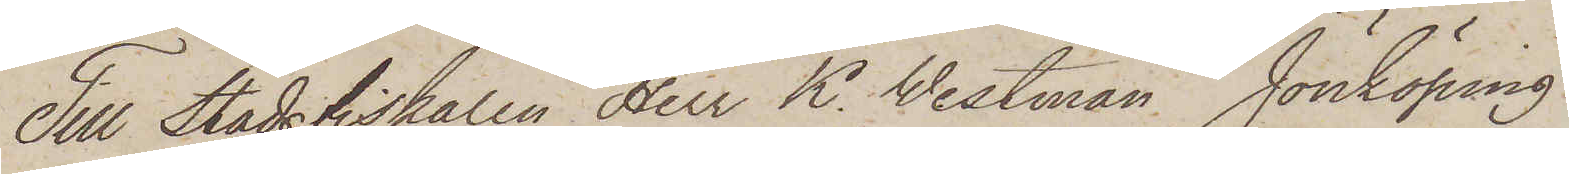Till Stadsfiskalen Herr K. Westman, Jönköping
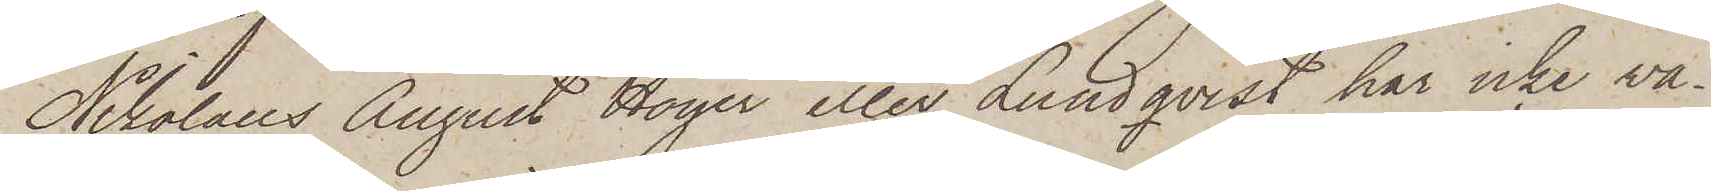Nikolaus August Höijer eller Lundqvist har icke va¬
